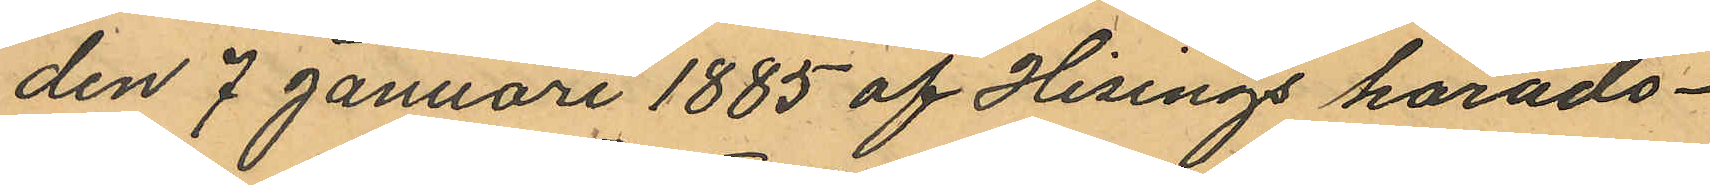den 7 Januari 1885 af Hisings härads¬
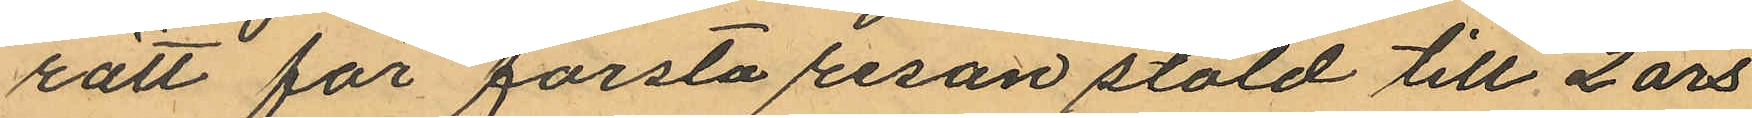rätt för första resan stöld till 2 års
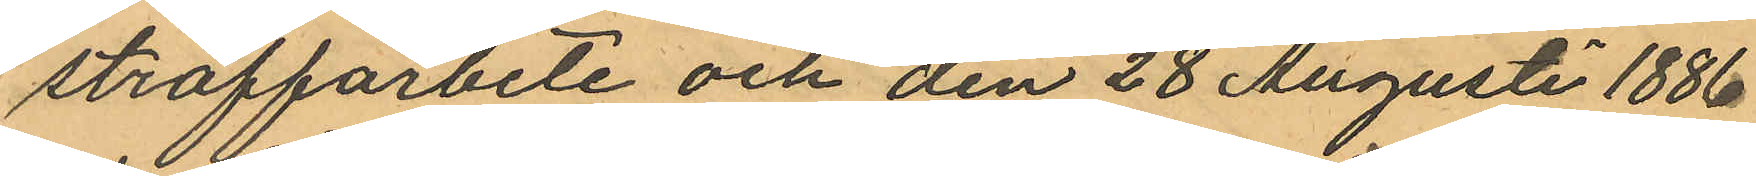straffarbete och den 28 Augusti 1886
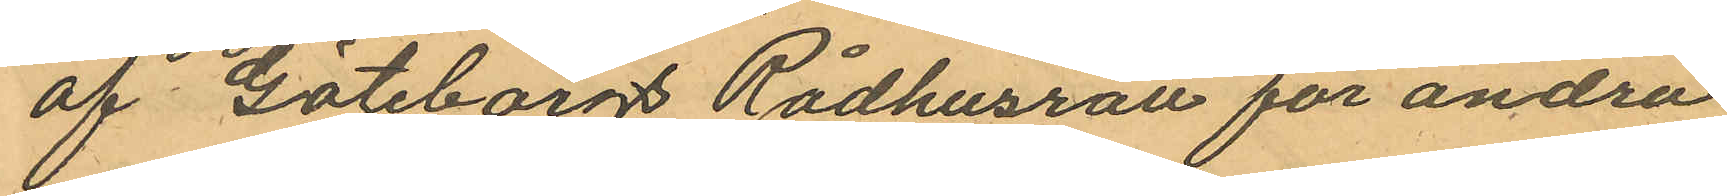af Göteborgs Rådhusrätt för andra
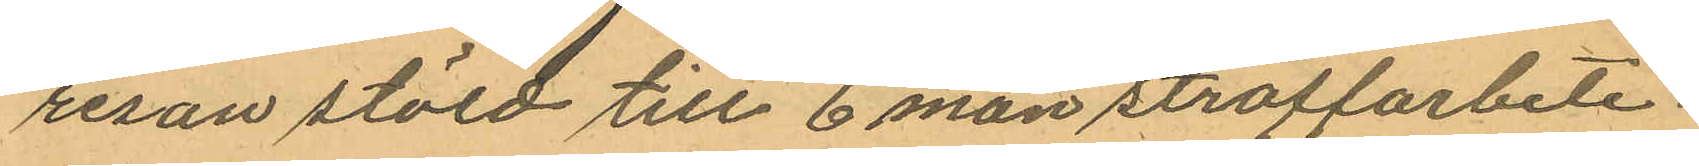resan stöld till 6 mån straffarbete.
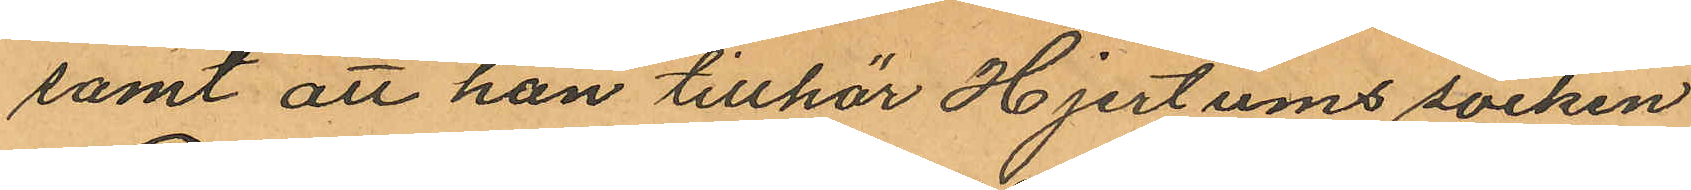samt att han tillhör Hjertums socken
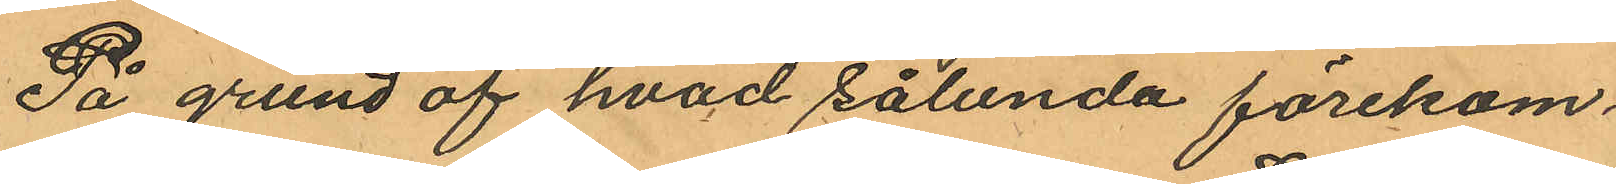På grund af hvad sålunda förekom¬
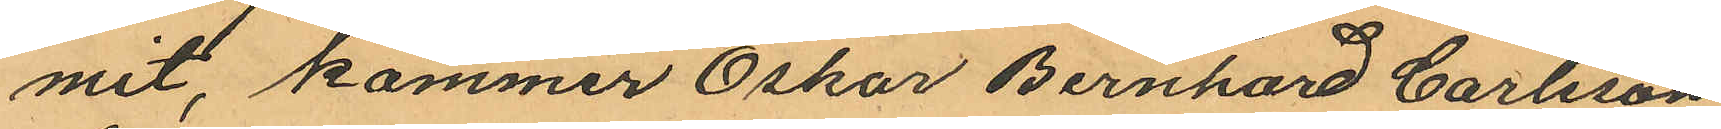mit, kommer Oskar Bernhard Carlsson
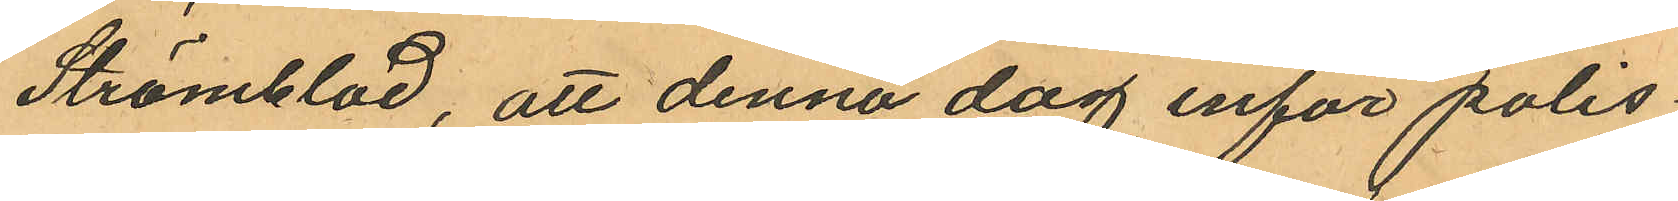Strömblad, att denna dag inför polis¬
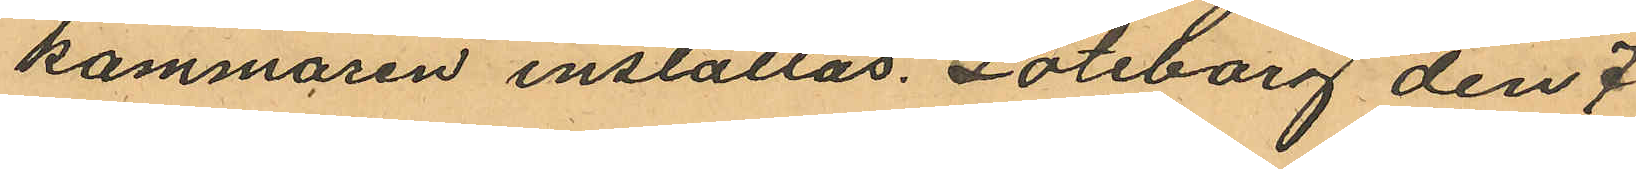kammaren inställas. Göteborg den 7
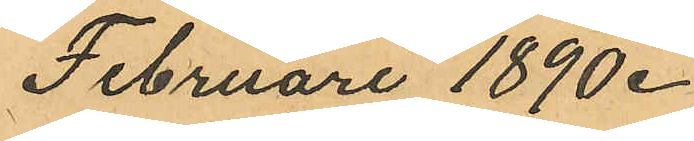Februari 1890.
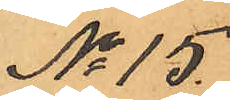No 15.
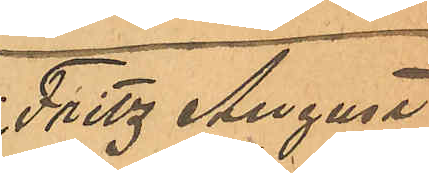Fritz August
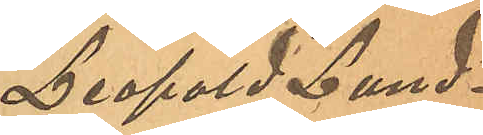Leopold Lund¬
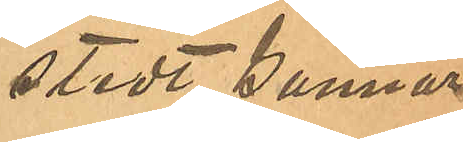stedt, Gunnar
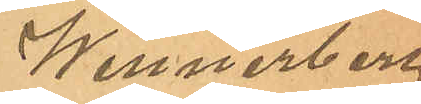Wennerberg
